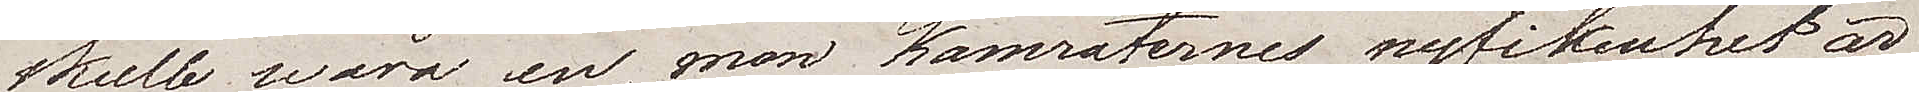skulle wara en, men kamraternes nyfikenhet är
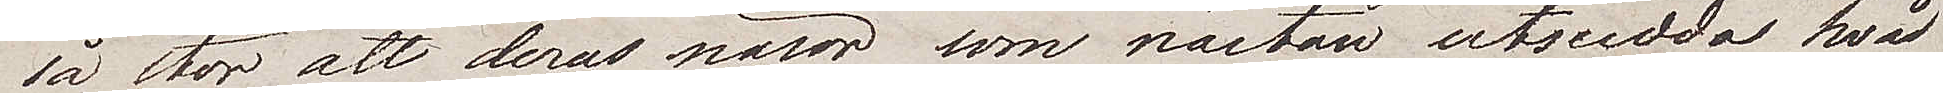så stor att deras näsor som nästan utsudda hvad
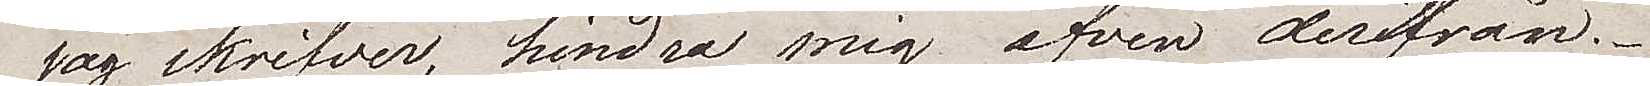jag skrifver, hindra mig äfven derifrån.
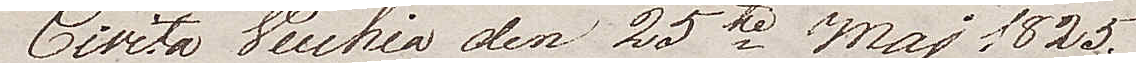Civita Vecchica den 25te Maj 1825
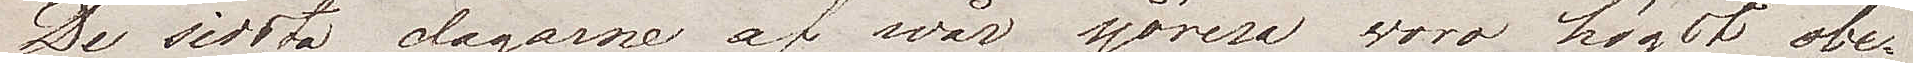De sista dagarne af wår sjöresa voro högst obe¬
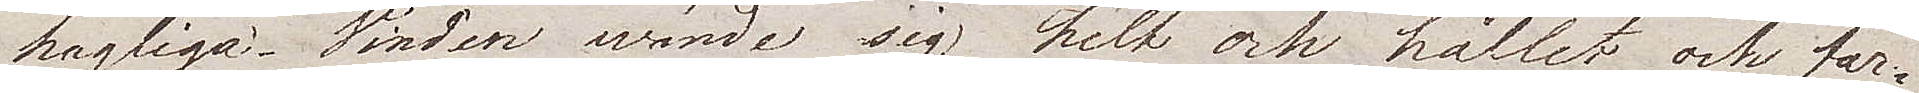hagliga. Vinden wände sig helt och hållet och far¬
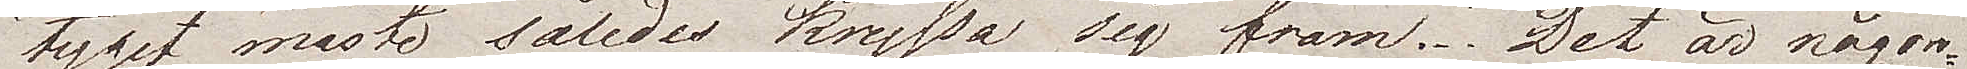tyget måste således kryssa sig fram. Det är någon¬
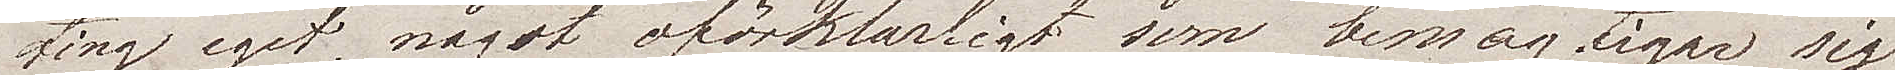ting eget, något oförklarligt som bemägtigar sig
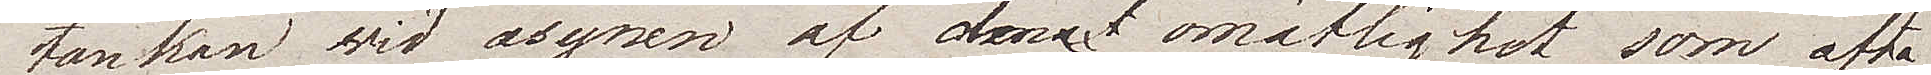tanken vid åsynen af denna omätlighet som ofta
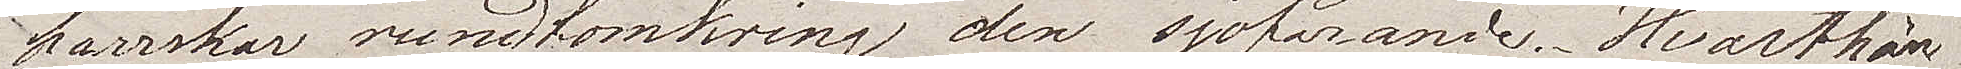härskar rundtomkring den sjöfarande. Hvarthän
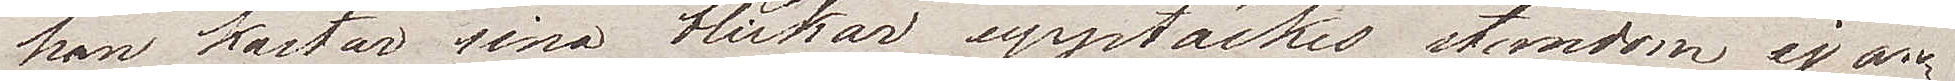han kastar sina blickar, upptäckes stundom ej an¬
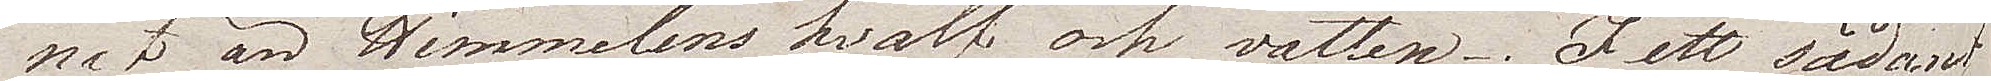nat än Himmelens hvalf och vatten. I ett sådant
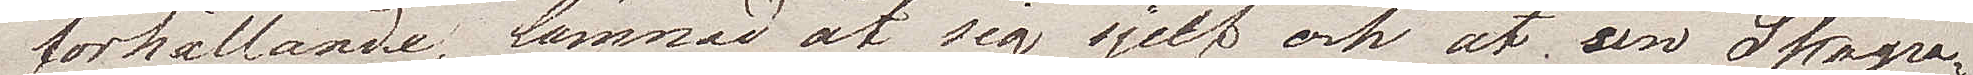förhållande, lämnad åt sig sjelf och åt sin Skapa¬
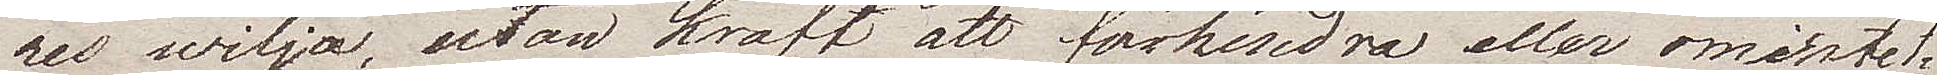res wilja, utan kraft att förhindra eller omintet¬
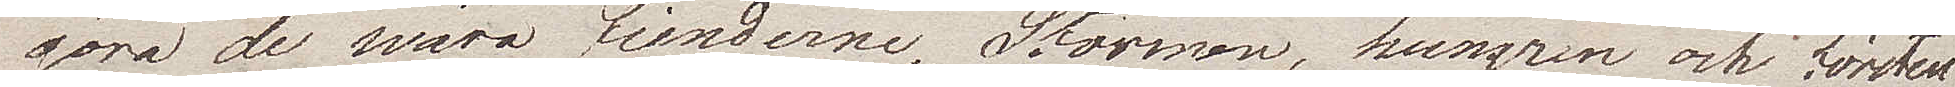göra de wåra fienderne, Stormen, hungren och törsten
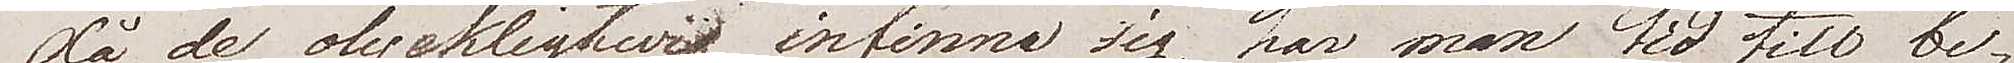då de olyckligtwis infinna sig, har man tid till be¬
